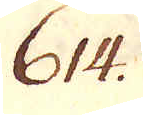614.
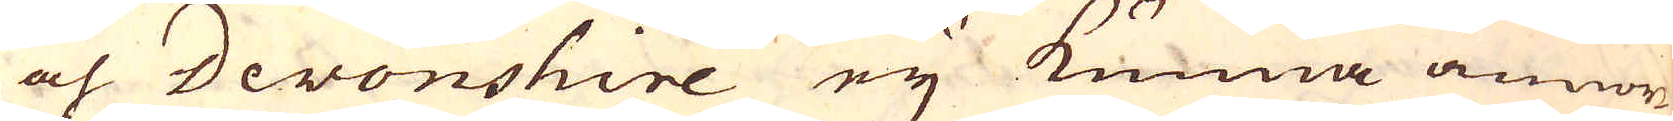och Devonshire eij kunna annor-
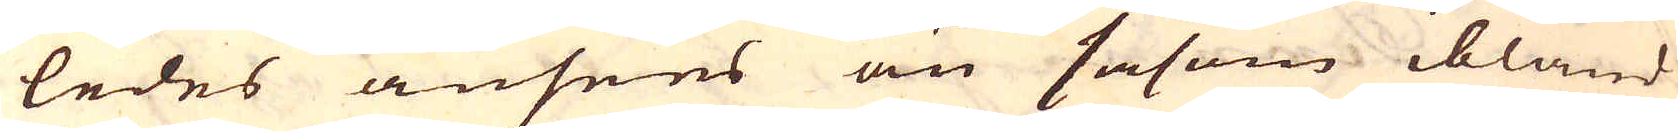ledes ansees än såsom ibland
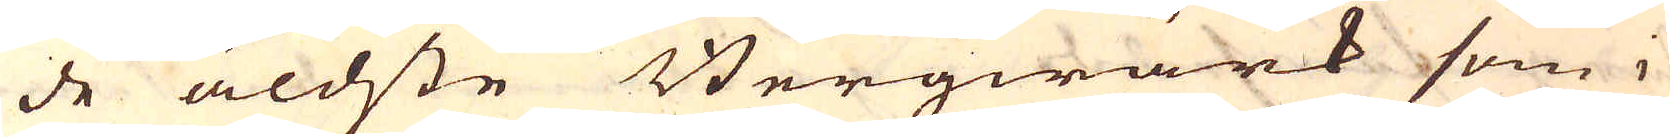de äldste Bergwärk som i
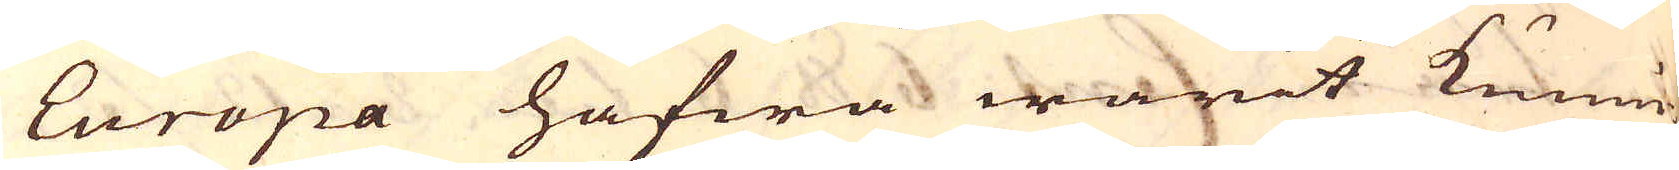Europa hafwa warit kunni-
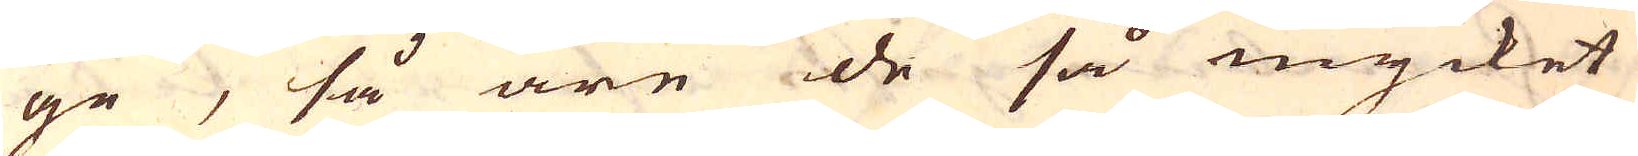ge, så äre de så mycket
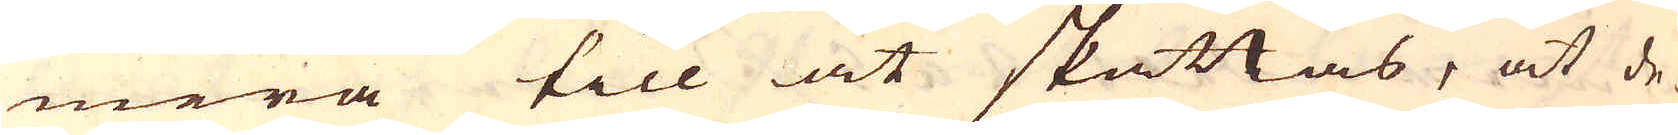mera till at skattas, at de-
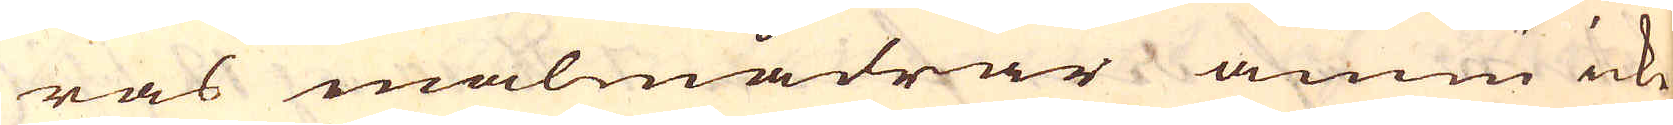ras malmådrar ännu icke
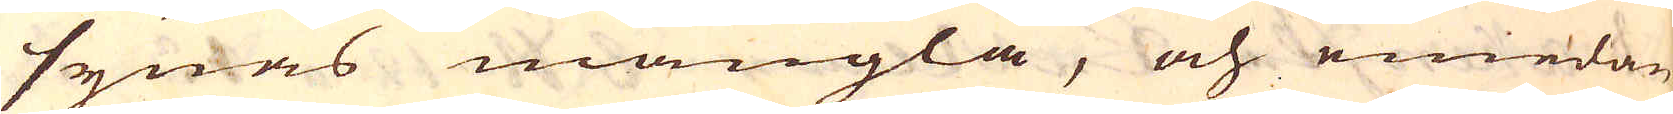synas mangla, och emedan
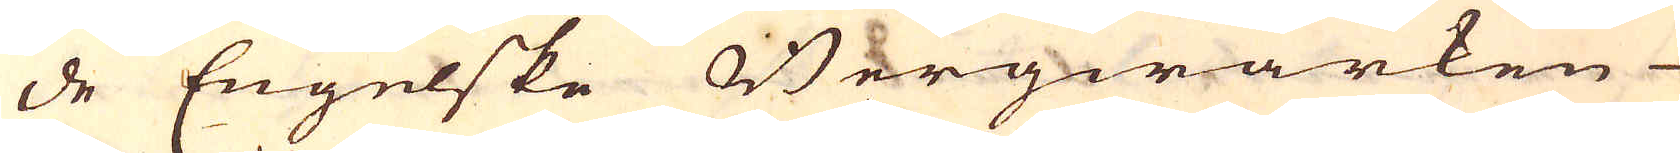de Engelske Bergwärken
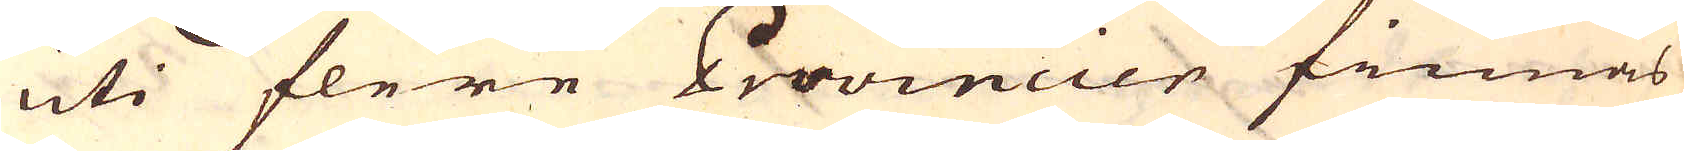uti flere Provincier finnas
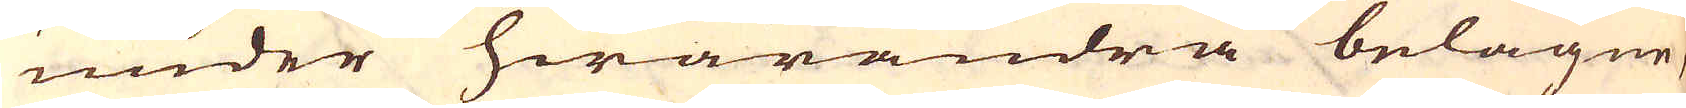under hwarandra belägne,
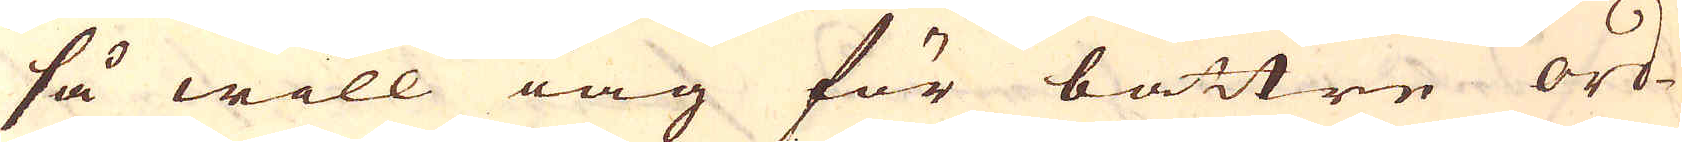så will iag för bättre ord-
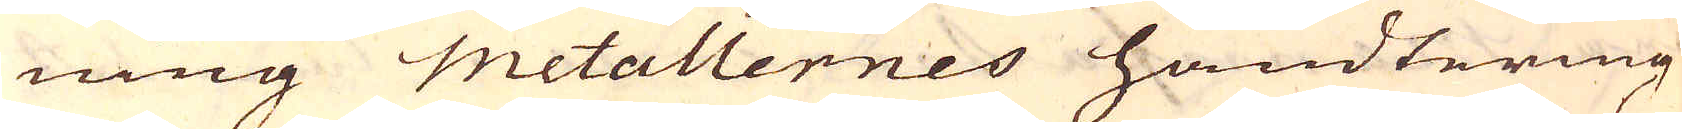ning metallernes handtering
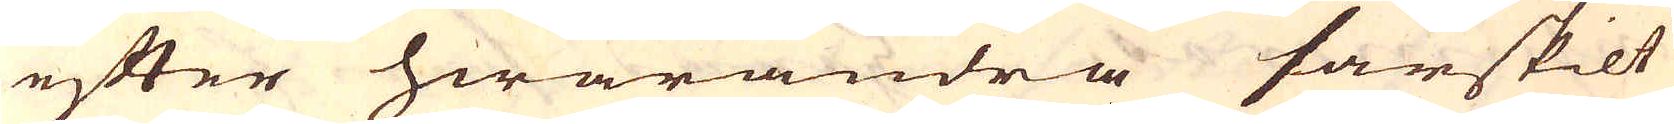efter hwarandra särskilt
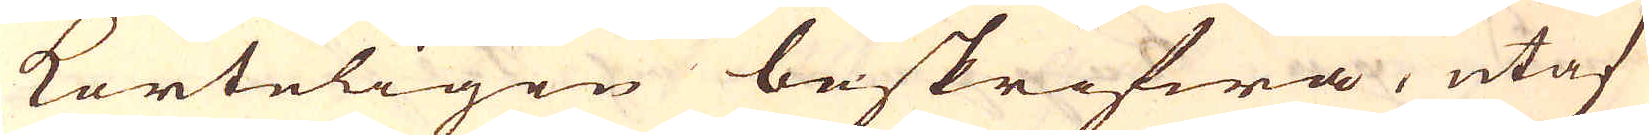korteligen beskrifwa, utaf
